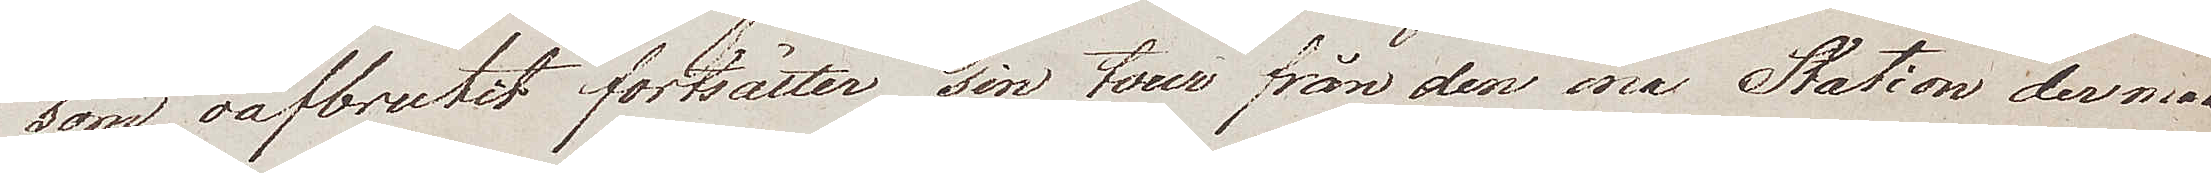som oafbrutit fortsätter sin tour från den ena Station der man
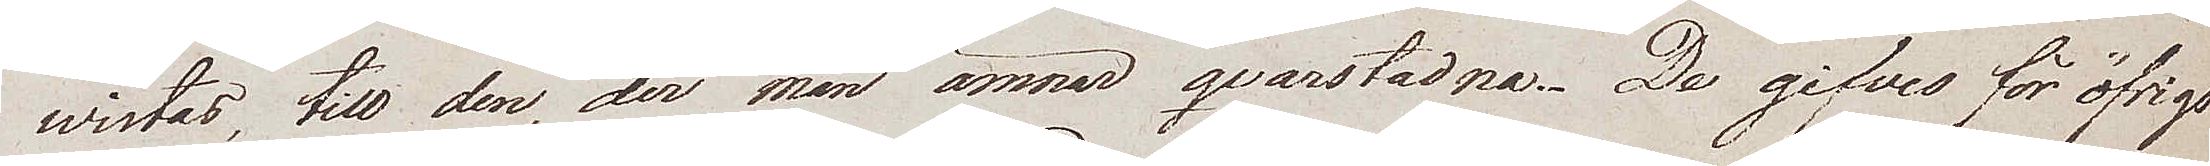wistas, till den, der man ämnar qvarstadna. De gifves för öfrigt
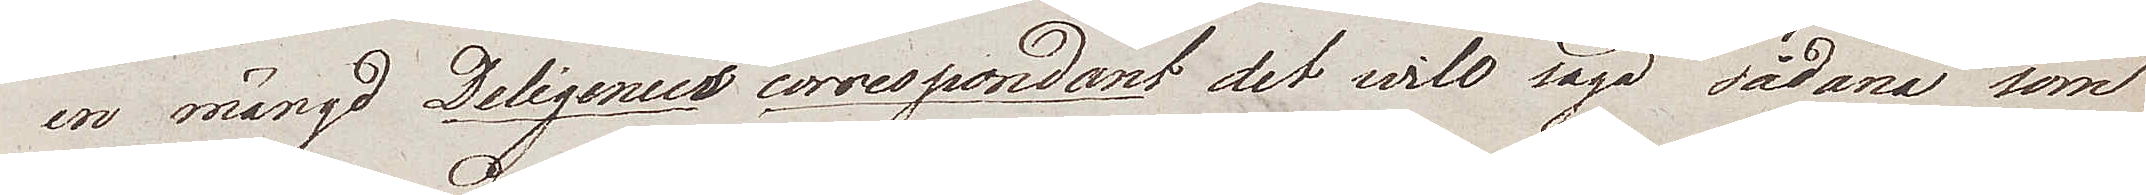en mängd Deligenses correspondant det will säga sådana som
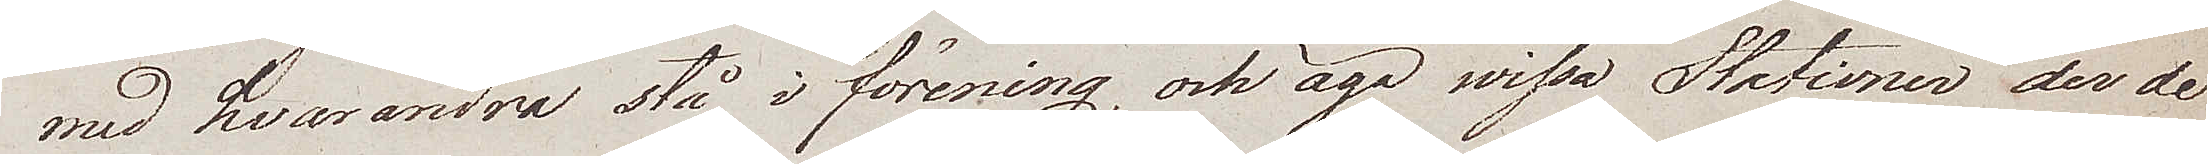med hvarandra stå i förening, och äga wissa Stationer der de
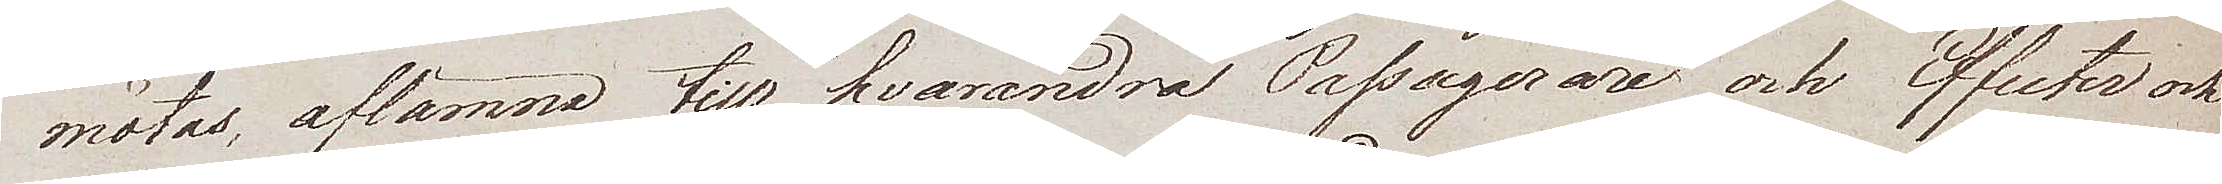mötas, aflämna till hvarandra Passagerare och Effecter och
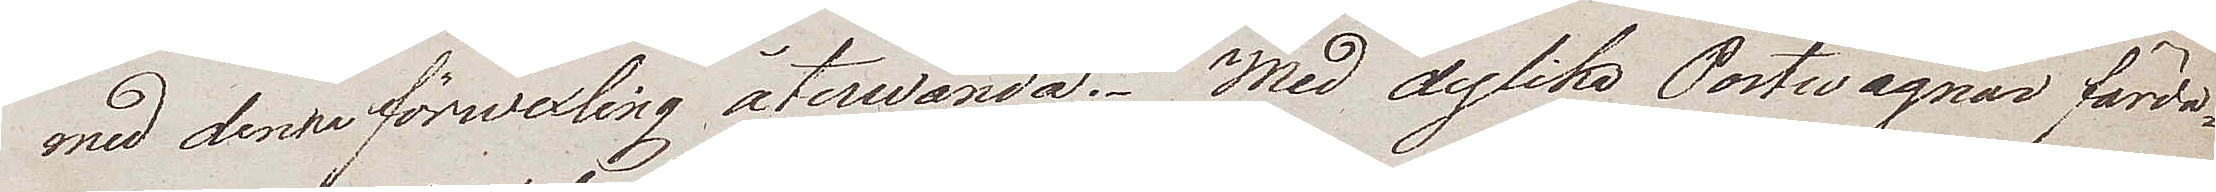med denna förwexling återwända. Med dylika Postwagnar färda¬
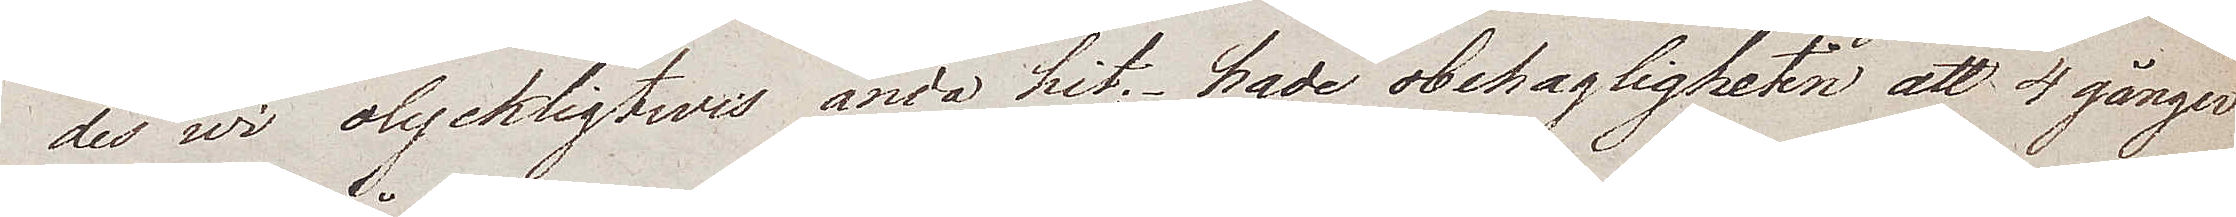des wi olyckligtwis ända hit; hade obehagligheten att 4 gånger
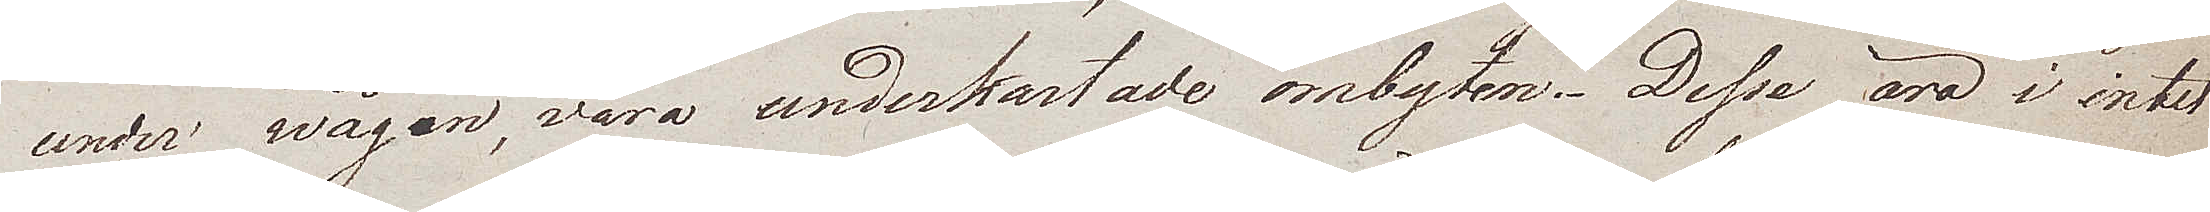under wägen, vara underkastade ombyten. Desse äro i intet
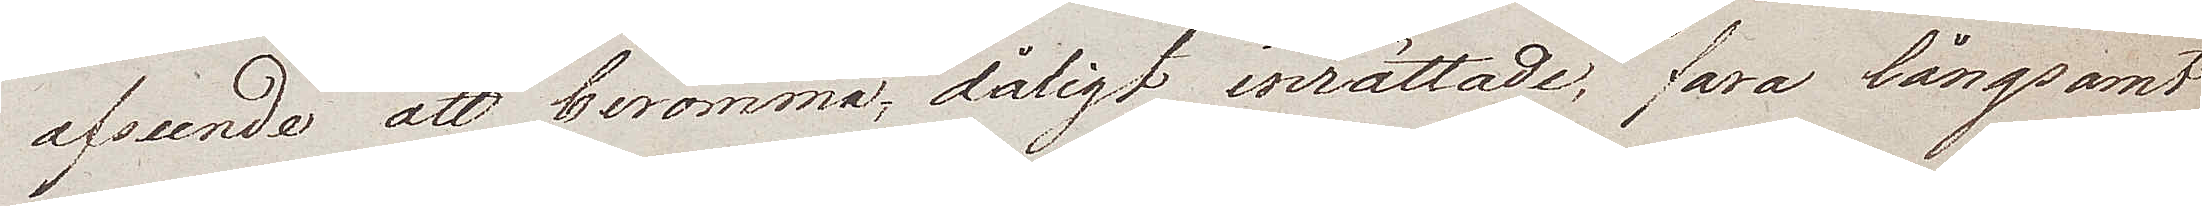afseende att berömma; dåligt inrättade, fara långsamt
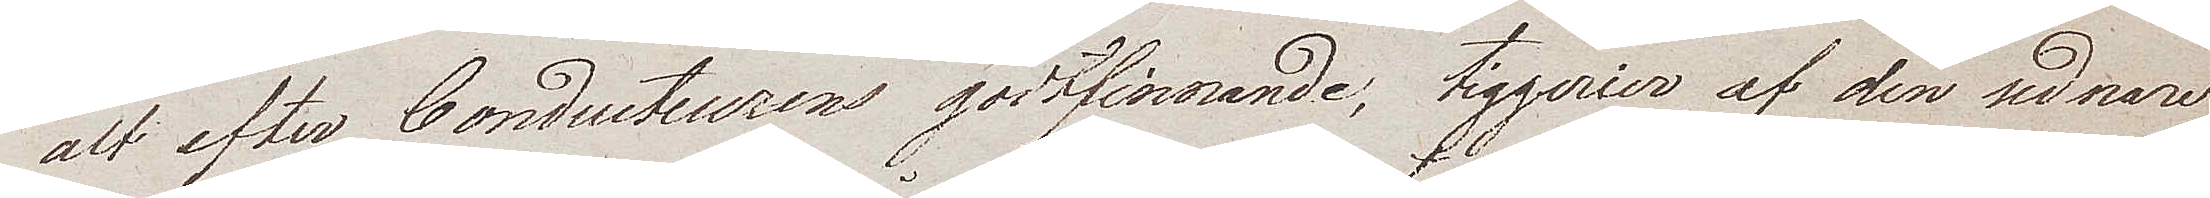alt efter Conducteurens godtfinnande, tiggerier af den sednare
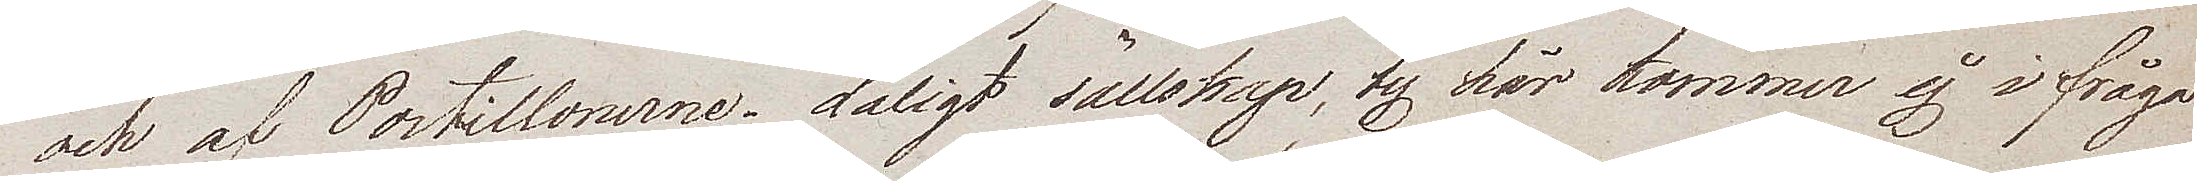och af Postillonerne. dåligt sällskap, ty här kommer ej i fråga
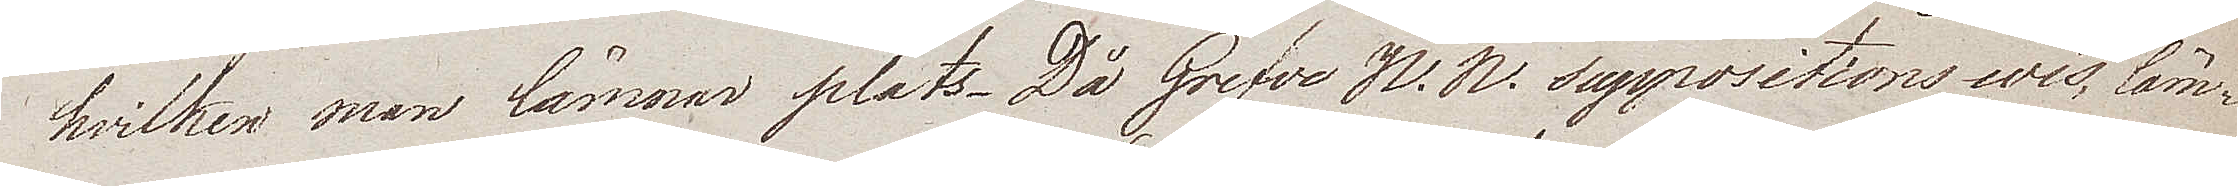hvilken man lämmar plats. Då Grefve N. N. suppositions wis, läm¬
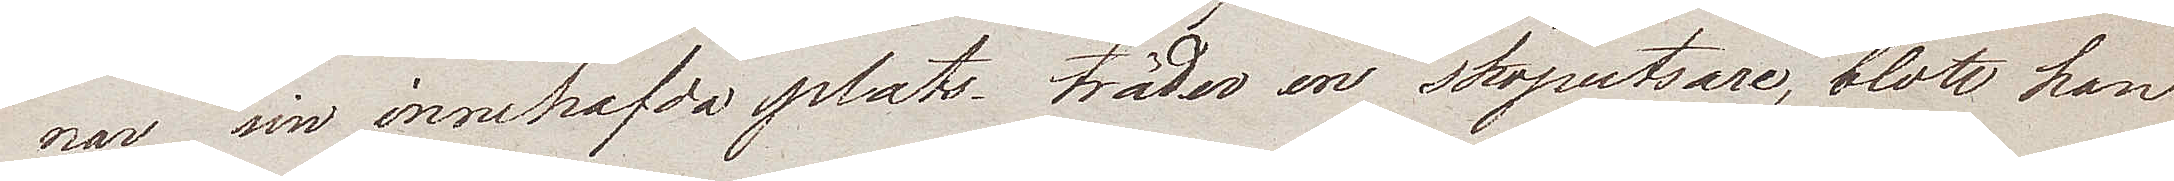nar sin innehafda plats träder en skoputsare, blott han
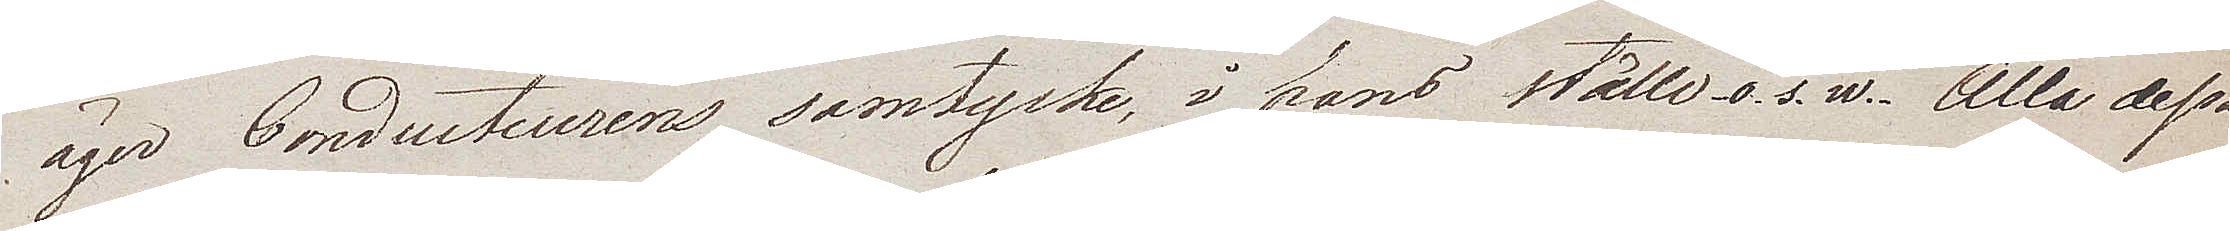äger Conducteurens samtycke, i hans ställe o. s. w. Alla dessa
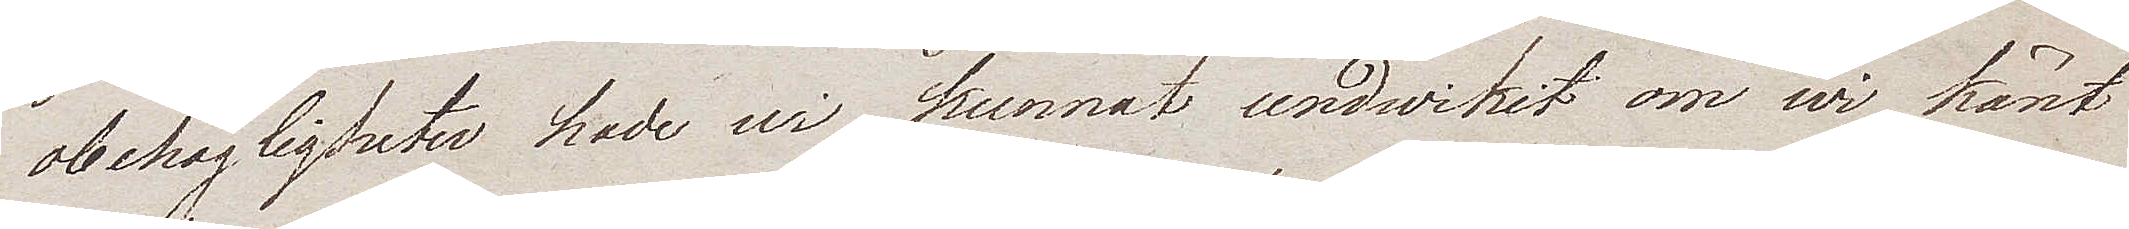obehagligheter hade wi kunnat undwikit om wi känt
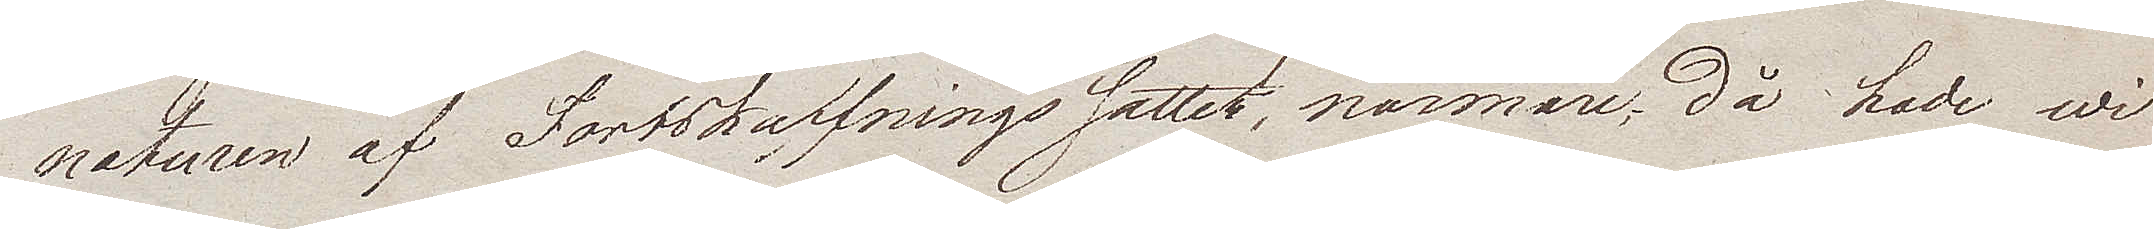naturen af Fortskaffnings sättet, närmare; då hade wi
